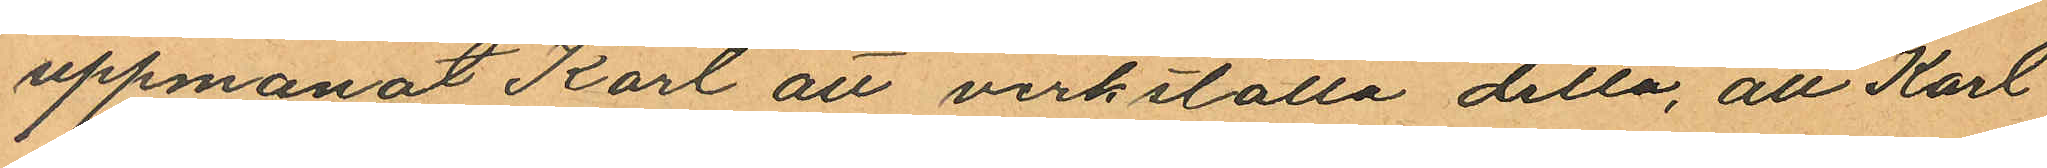uppmanat Karl att verkställa detta, att Karl
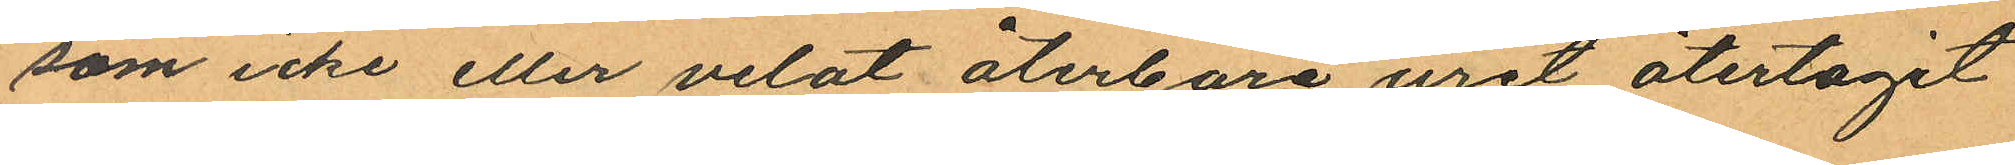som icke eller velat återbära uret återtagit
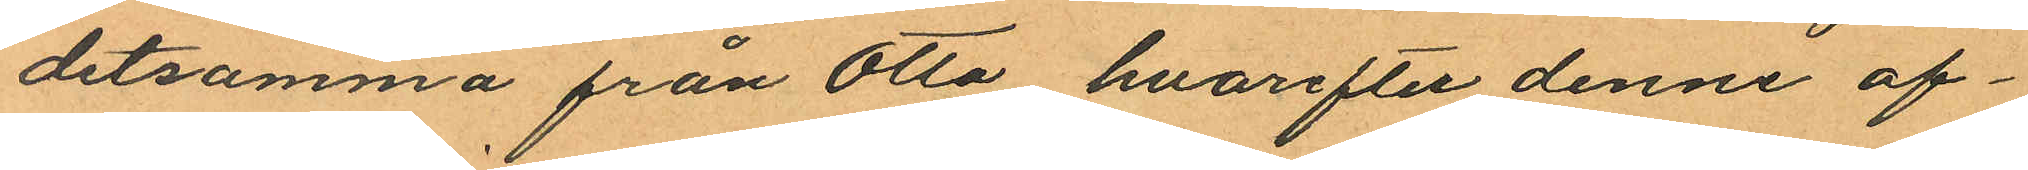detsamma från Otto hvarefter denne af¬
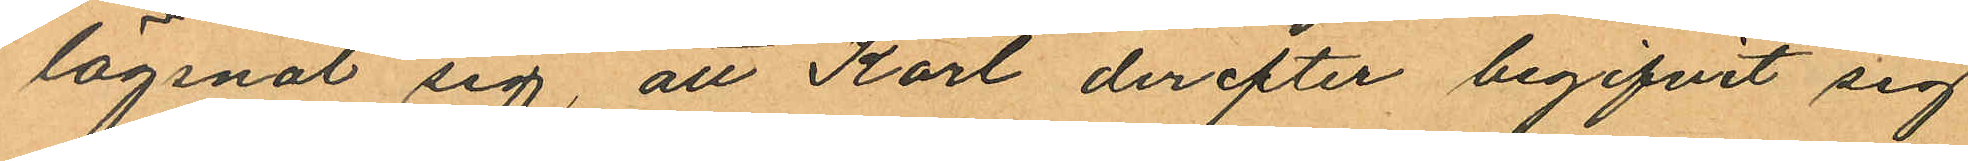lägsnat sig, att Karl derefter begifvit sig
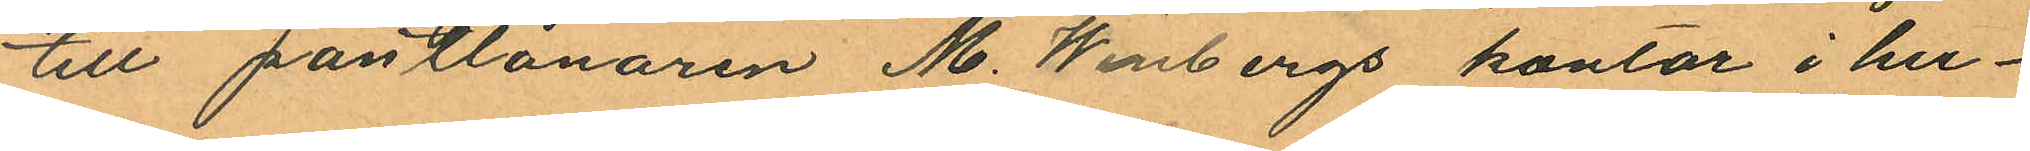till pantlånaren M. Winbergs kontor i hu¬
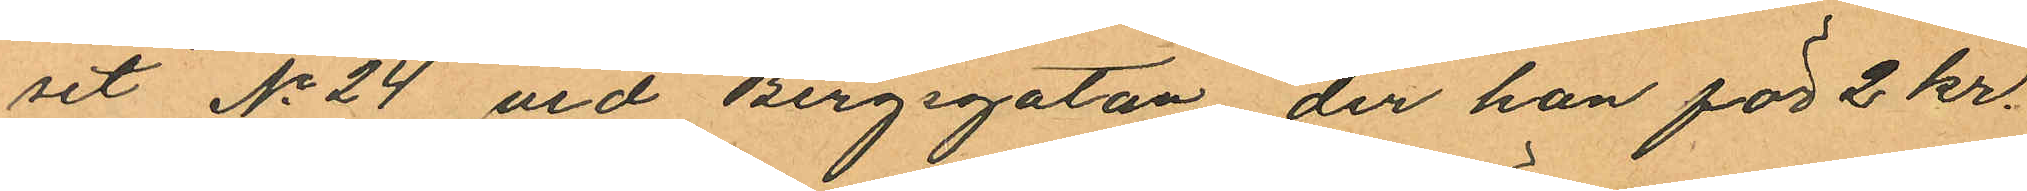set No 24 vid Bergsgatan, der han för 2 kr.
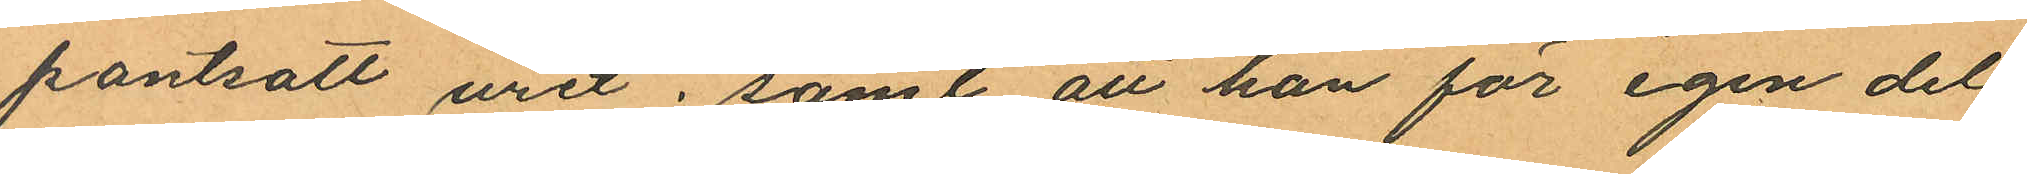pantsatt uret, samt att han för egen del
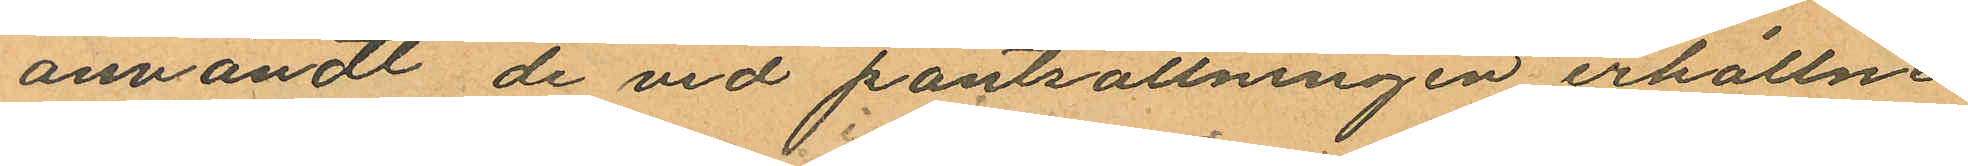användt de vid pantsättningen erhållne
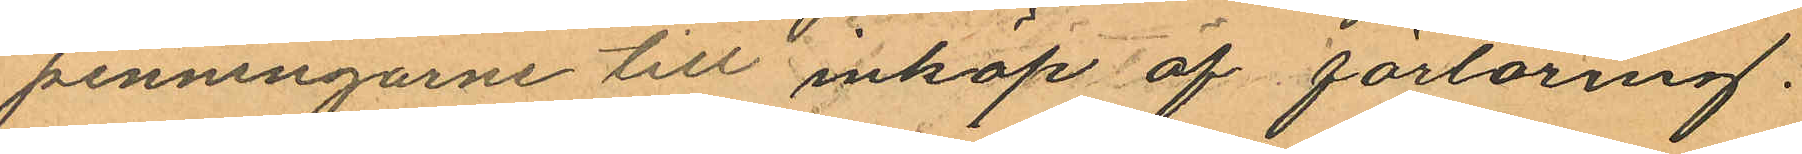penningarne till inköp af förtäring.
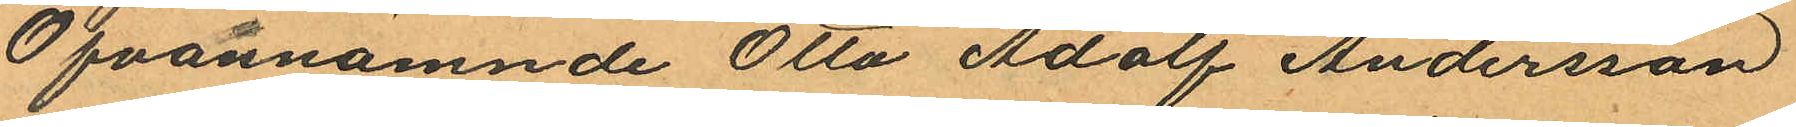Ofvannämnde Otto Adolf Andersson
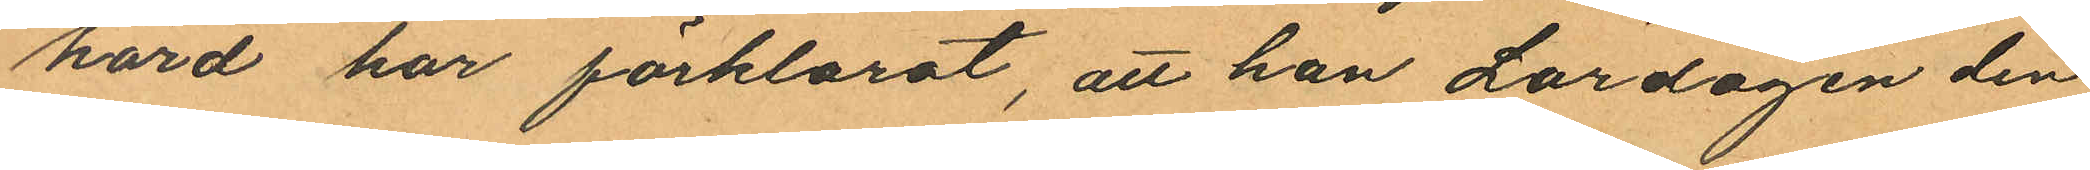hörd har förklarat, att han Lördagen den
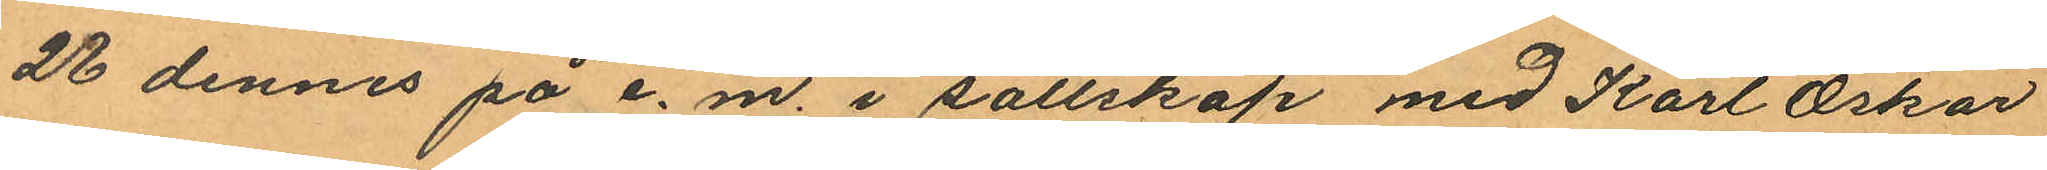28 dennes på e.m. i sällskap med Karl Oskar
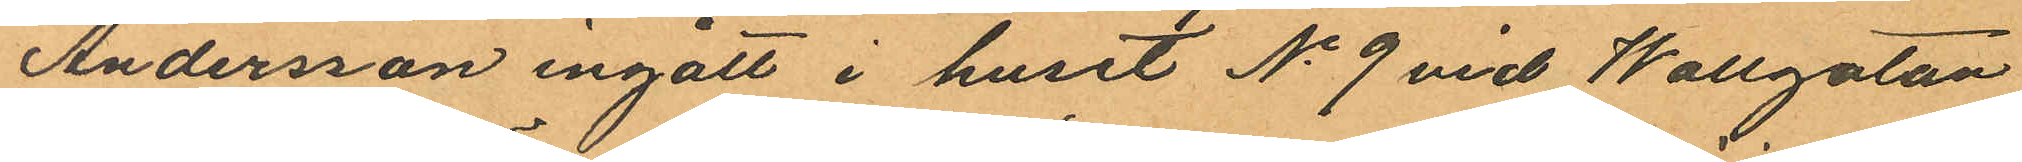Andersson ingått i huset No 9 vid Wallgatan
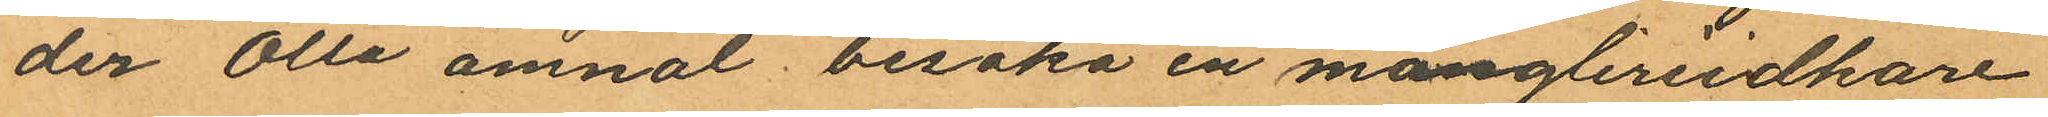der Otto ämnat besöka en mångleriidkare
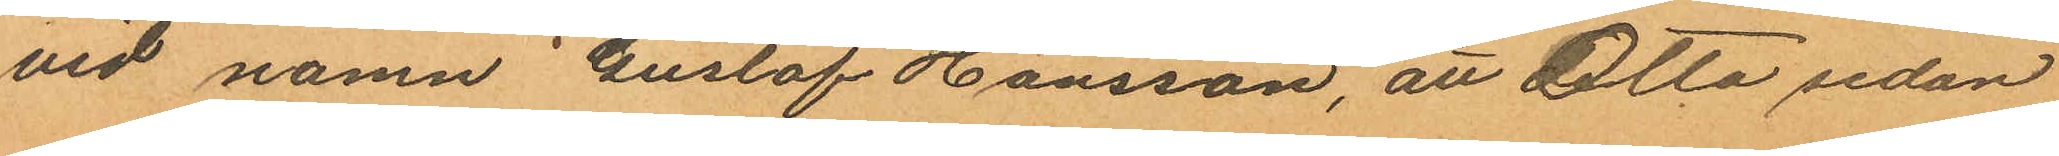vid namn Gustaf Hansson, att detta sedan
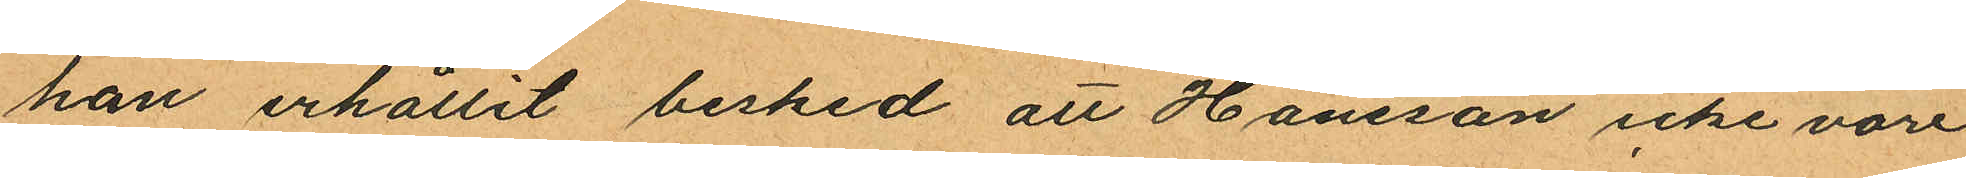han erhållit besked att Hansson icke vore
